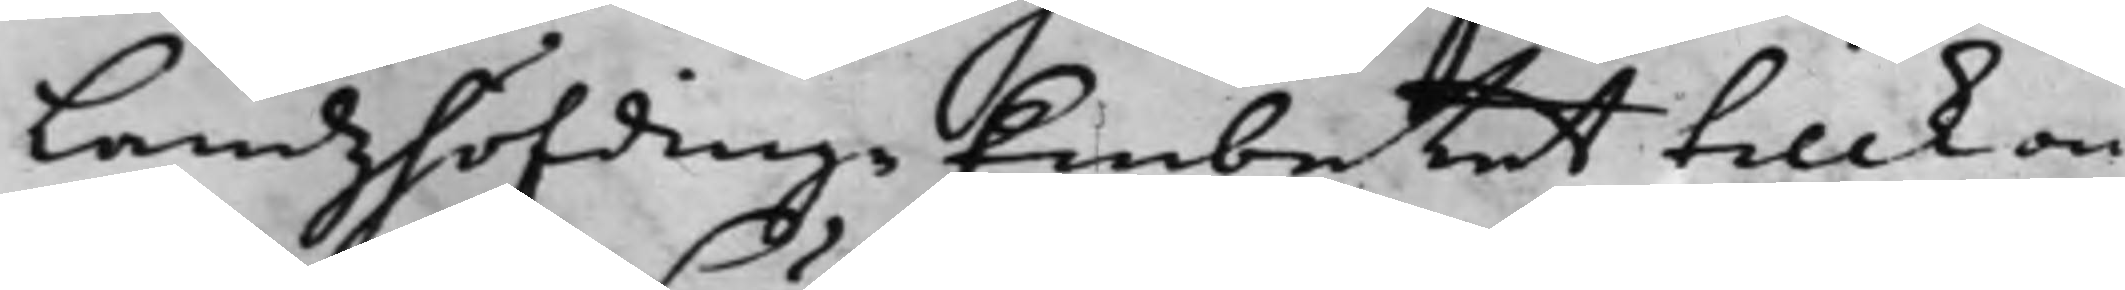LandzhöfdingeEmbetet tillkom¬
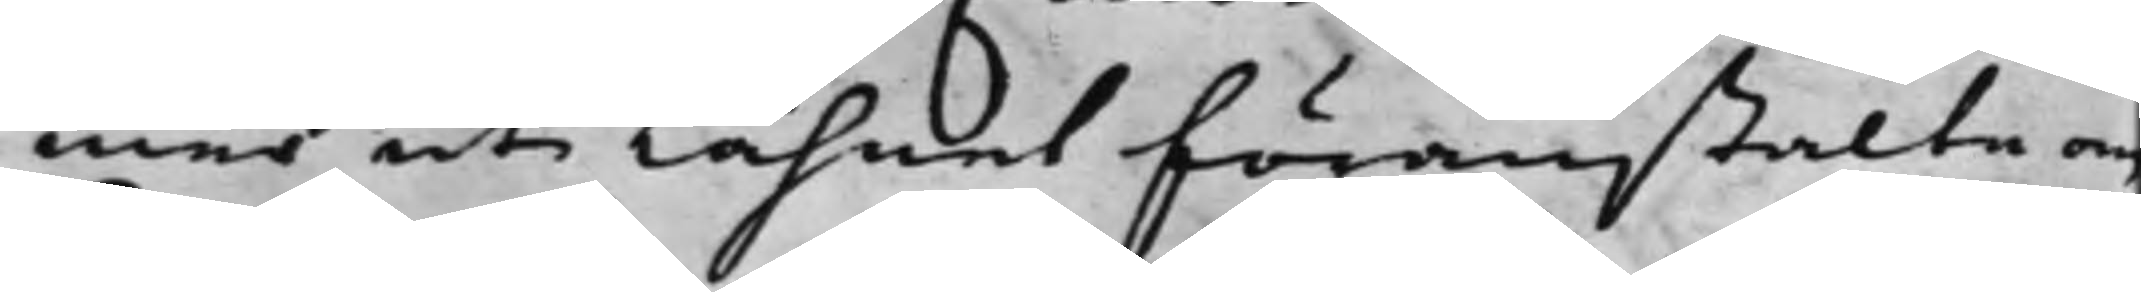mer uti Lähnet föranstalta om
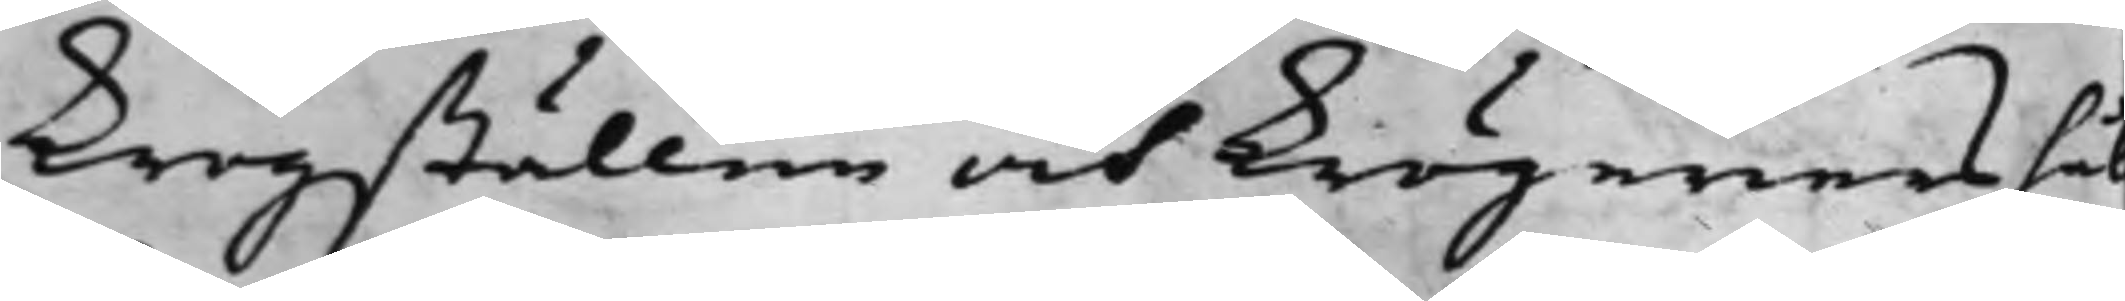krogställen och krögeriers hål¬
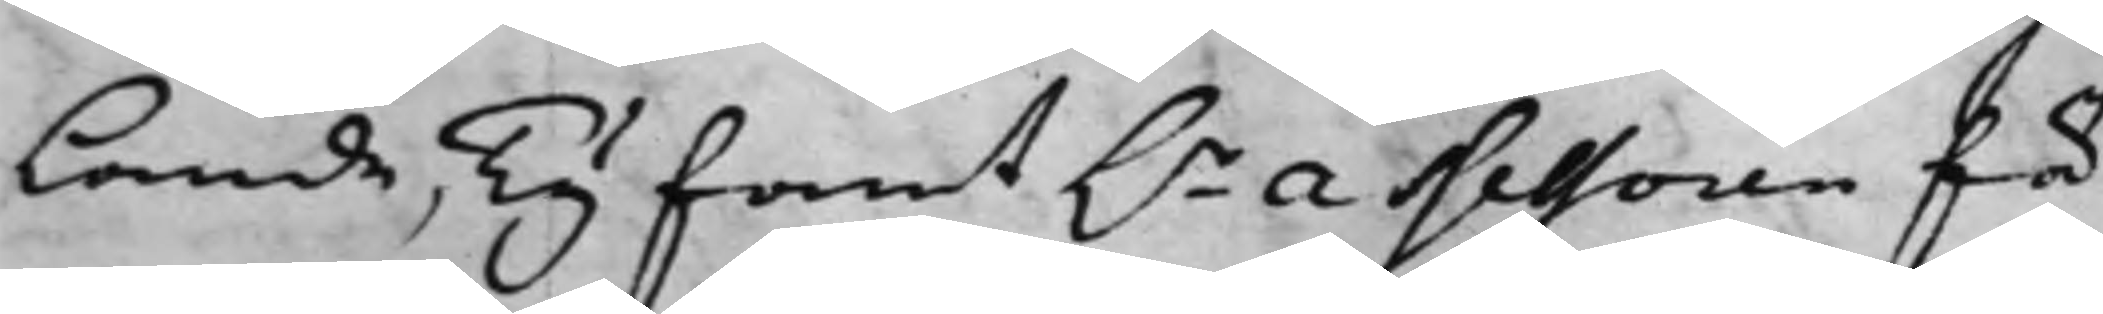lande, Ty fant h.r Assessoren för
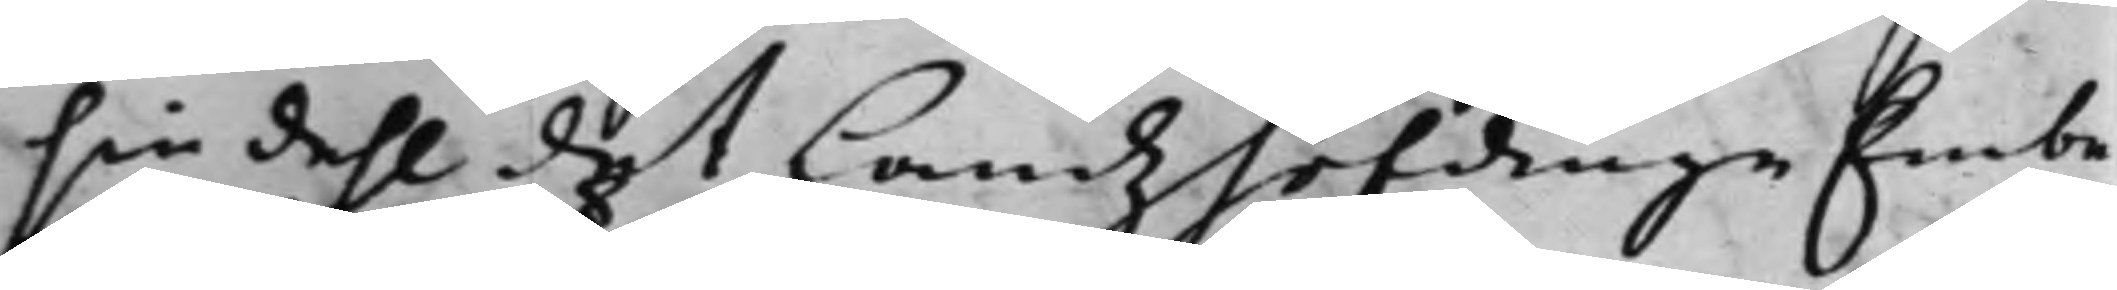sin dehl det LandzhöfdingeEmbe¬
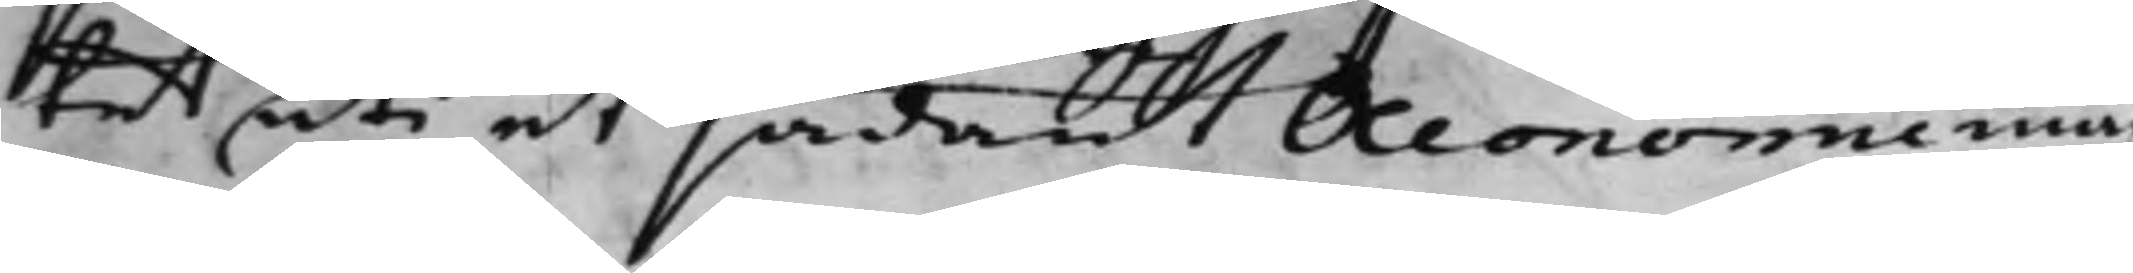tet uti et sådant Oeconomie måh
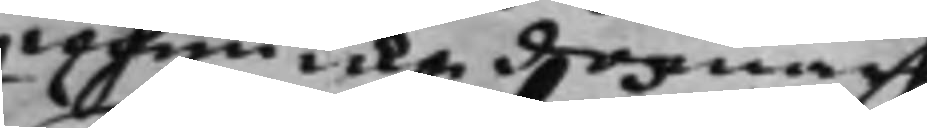men icke domare
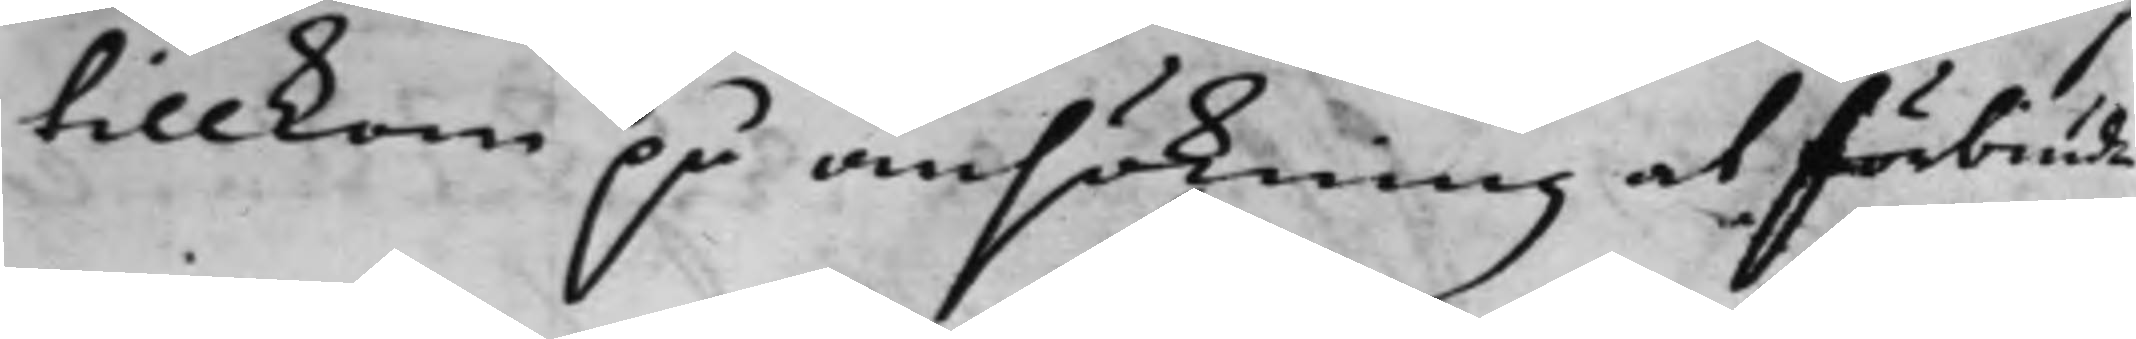tillkom på ansökning at förbiuda
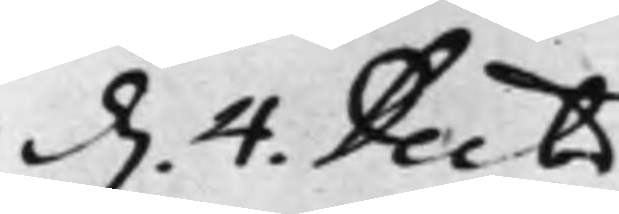d. 4. Decbr
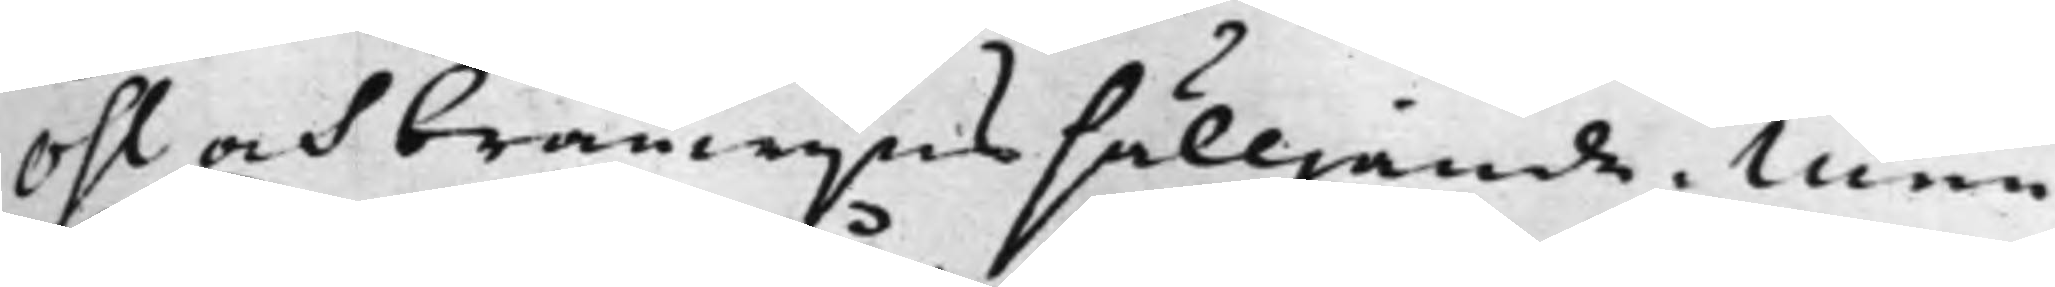Öhl och bränwijns sälljande, Men
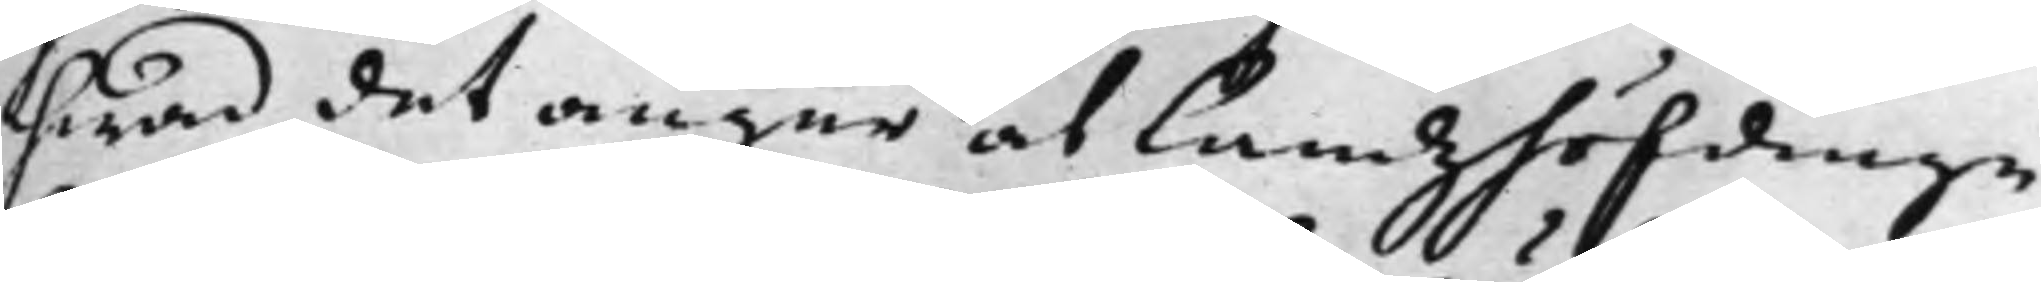hwad det angår at Landzhöfdinge¬
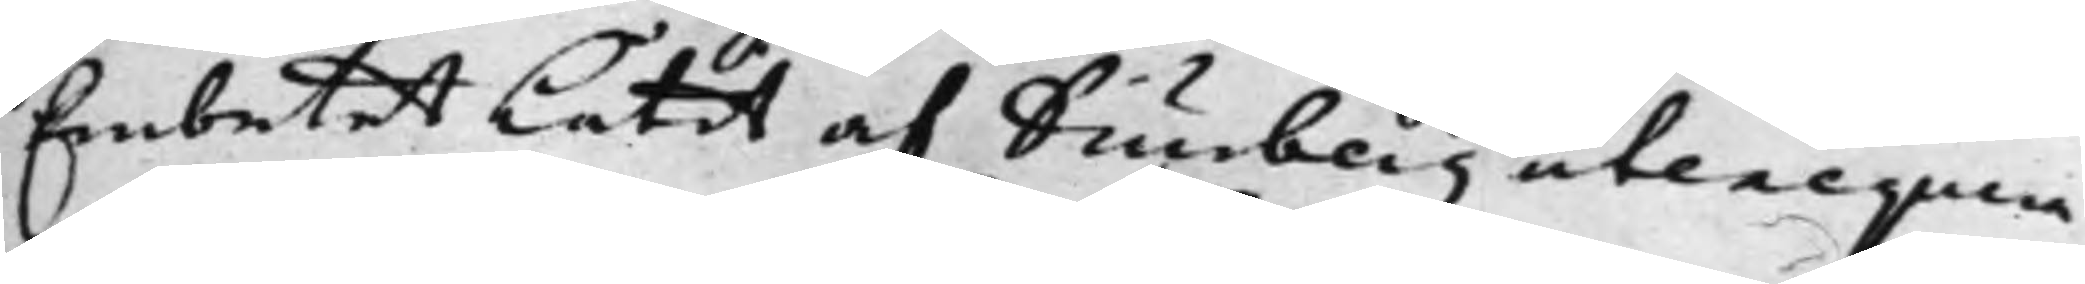Embetet Låtit af Diurberg utexequera
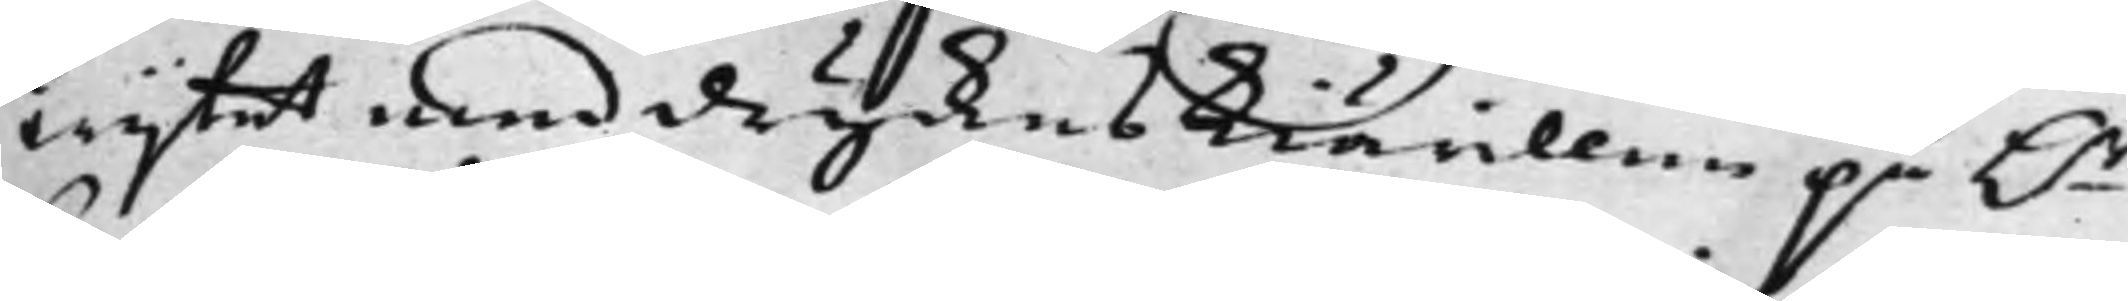wijtet med dryckeskiärillen på h.r
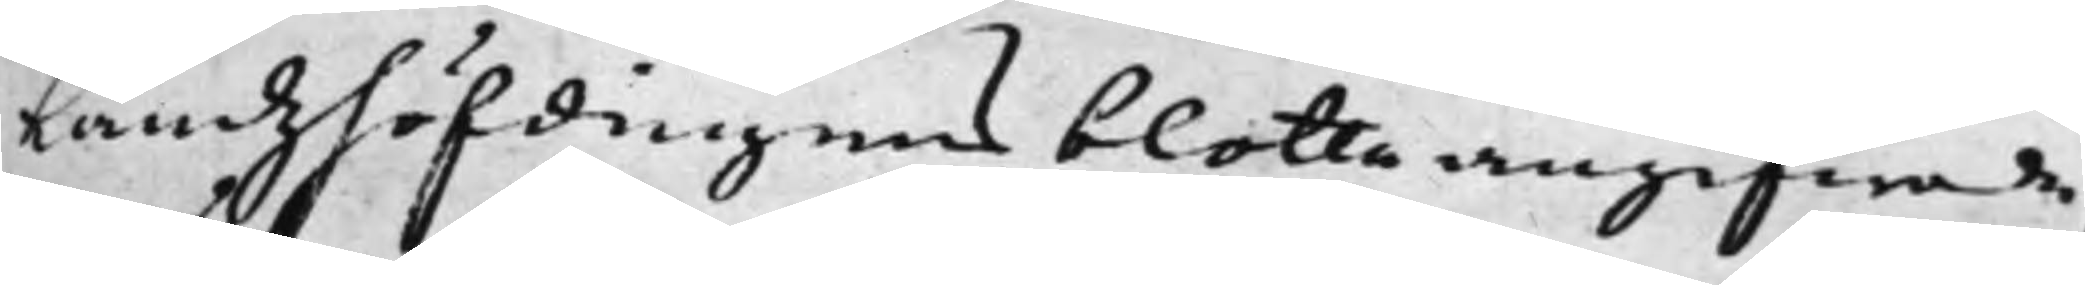Landzhöfdingens blotta angifwande,
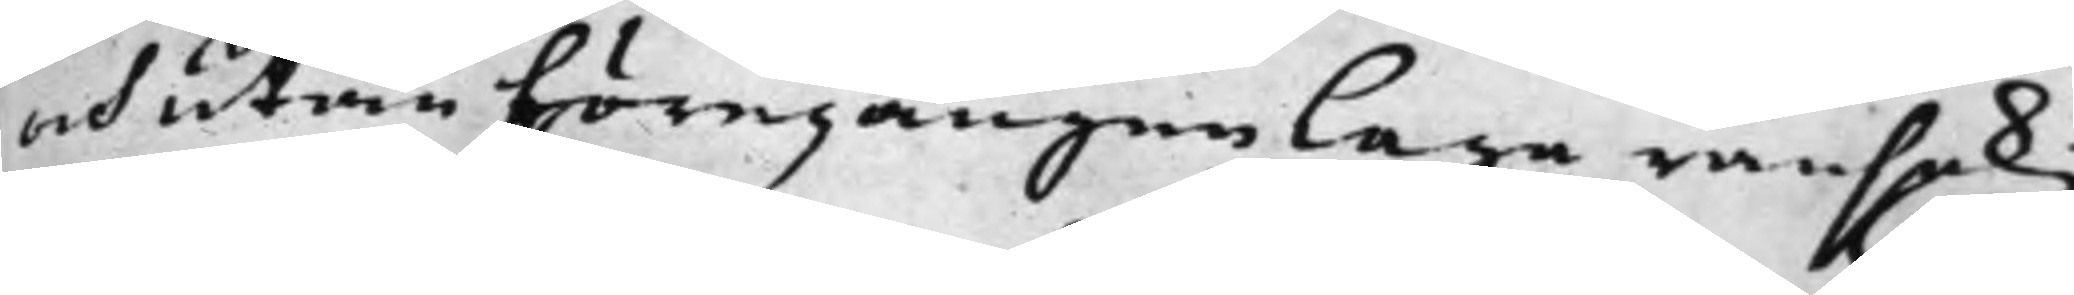och utan föregången Laga ransakg
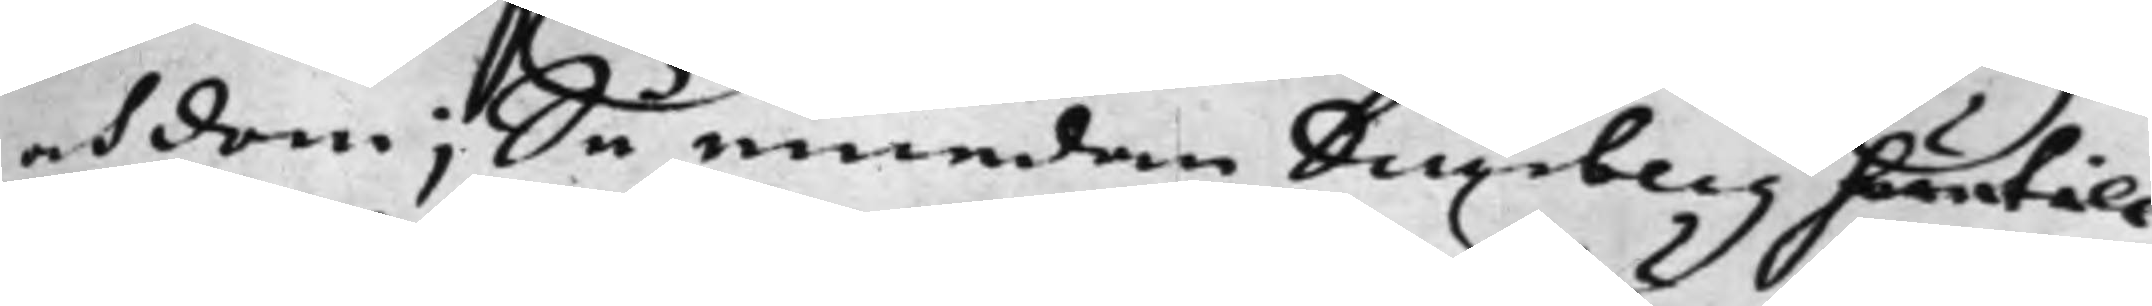och dom; Så emedan Diurberg härtill
